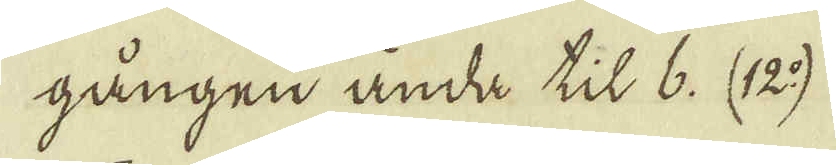gången ända til 6. (12:o)
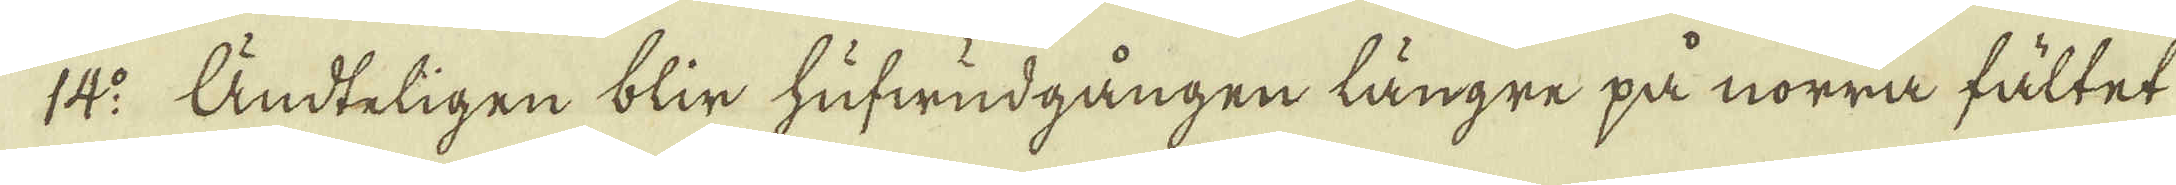14:o Ändteligen blir hufwudgången längre på norra fältet
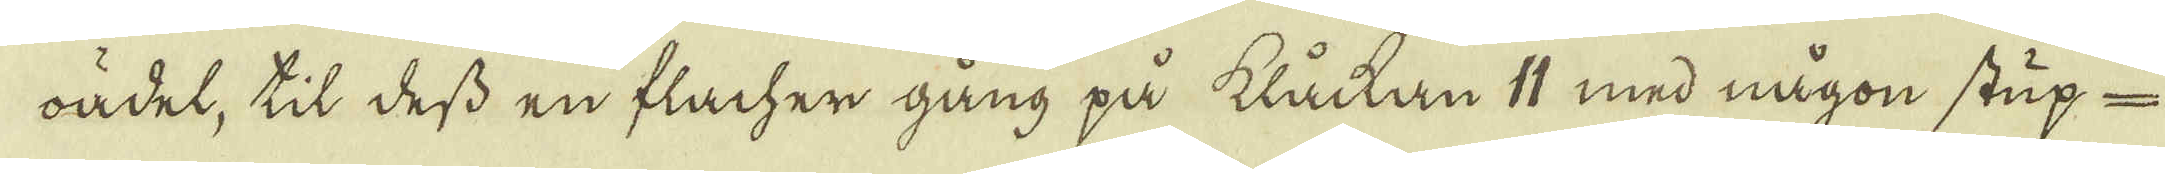oädel, til dess en flacher gång på klåckan 11 med någon stup-
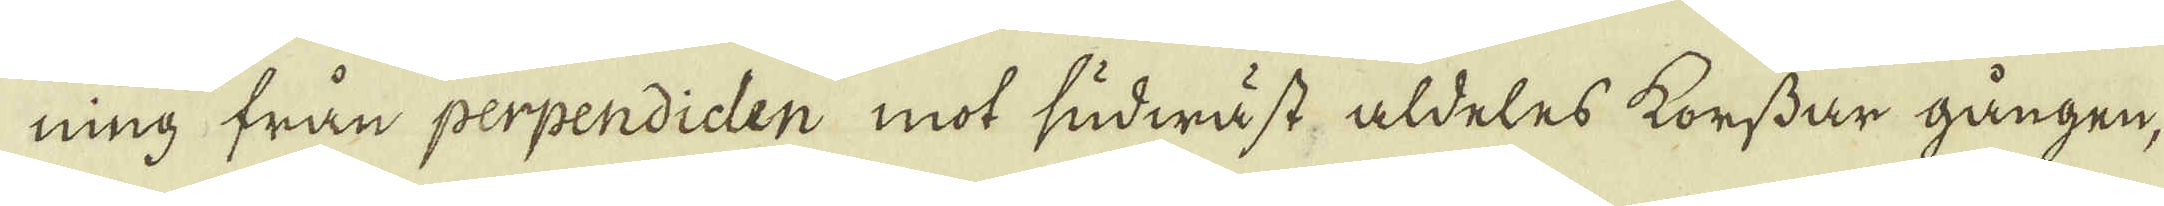ning från perpendiclen mot sudwäst aldeles korssar gången,
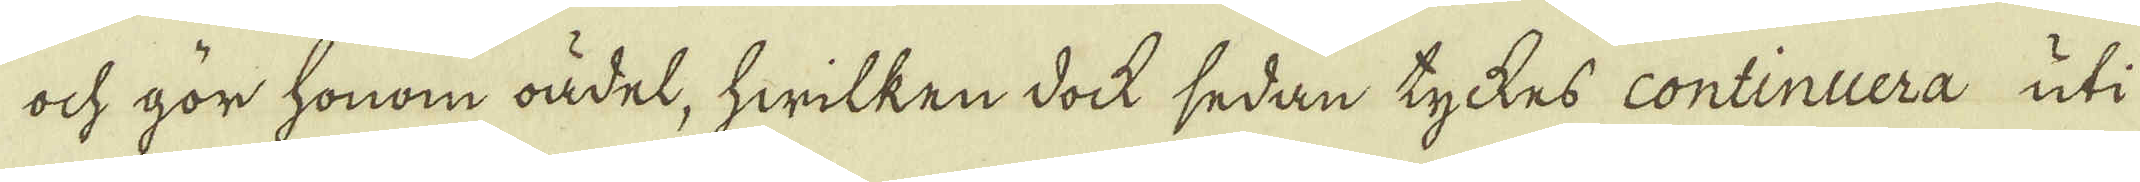ock gör honom oädel, hwilken dock sedan tyckes continuera uti
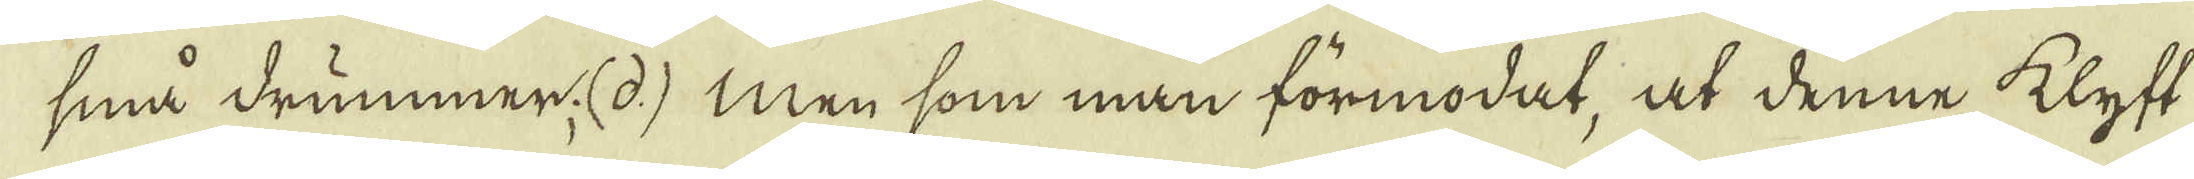små drummer. (d) men som man förmodat, at denne klyft
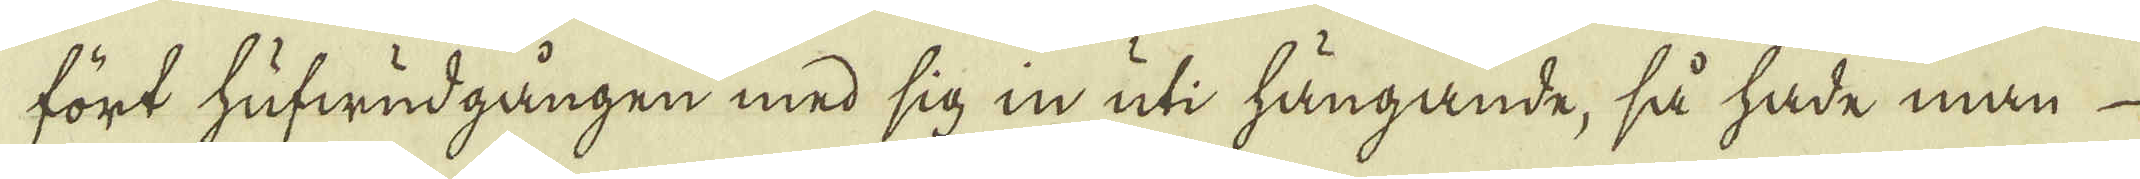fört hufwudgången med sig in uti hängande, så hade man
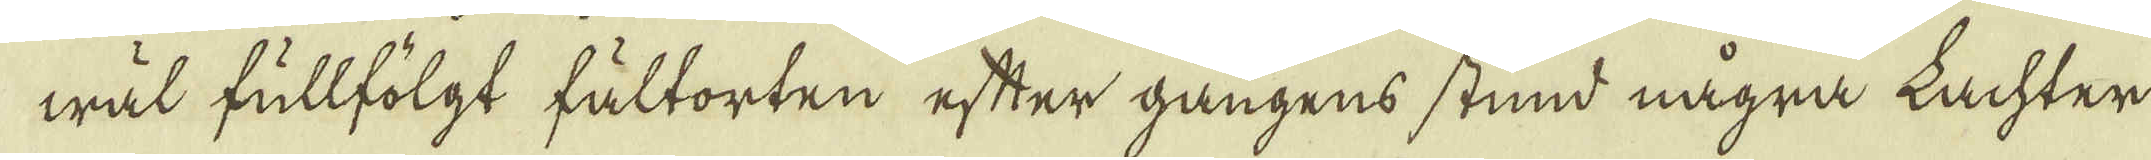wäl fullfölgt fältorten efter gångens stund några Lachter
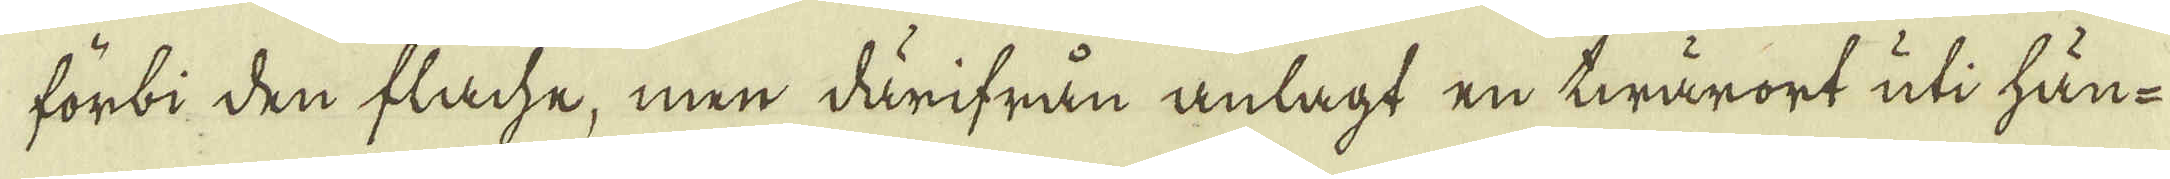förbi den flache, men därifrån anlagt en twärort uti hän-
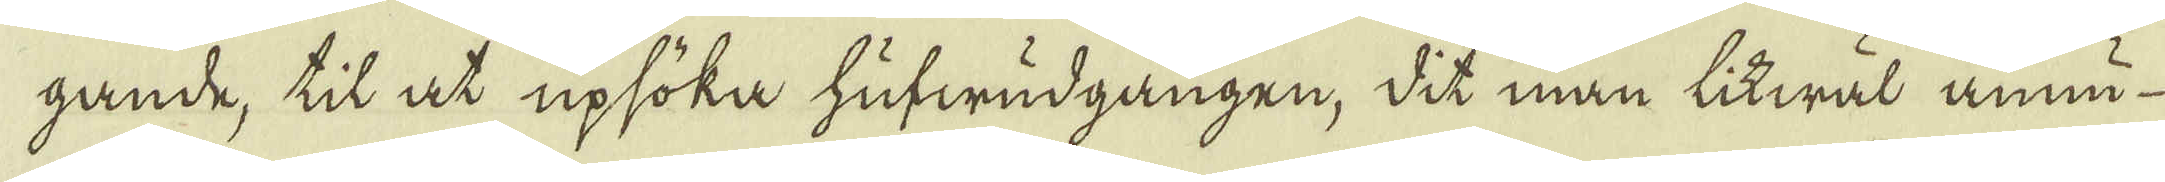gande, til at upsöka hufwudgången, dit man litwäl ännu
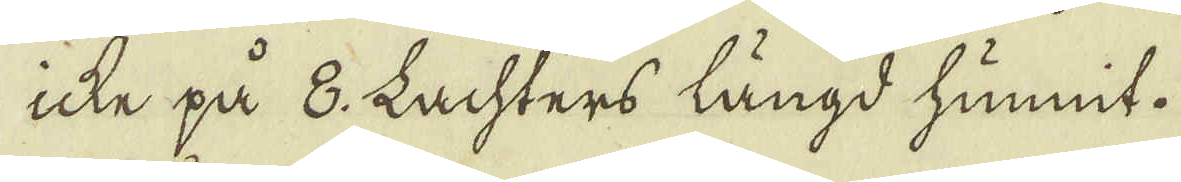icke på 8. Lachters längd hunnit.
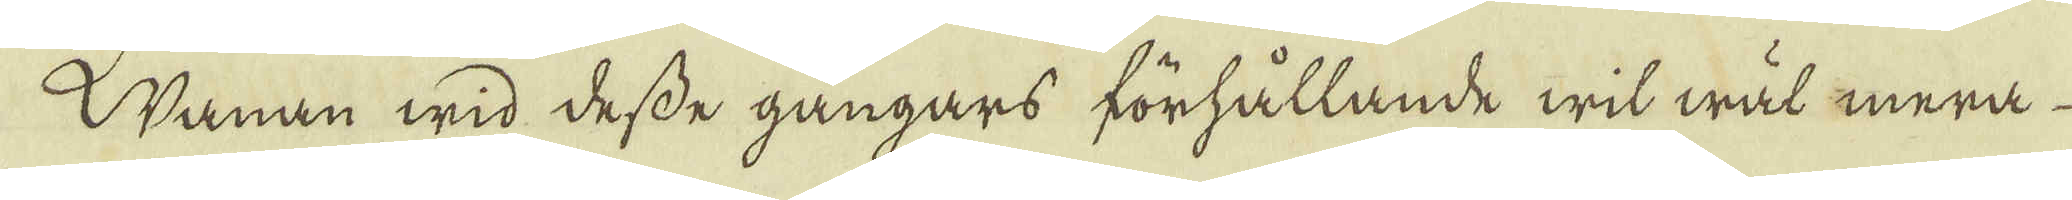Nanan wid desse gångars förhållande wil wäl mera
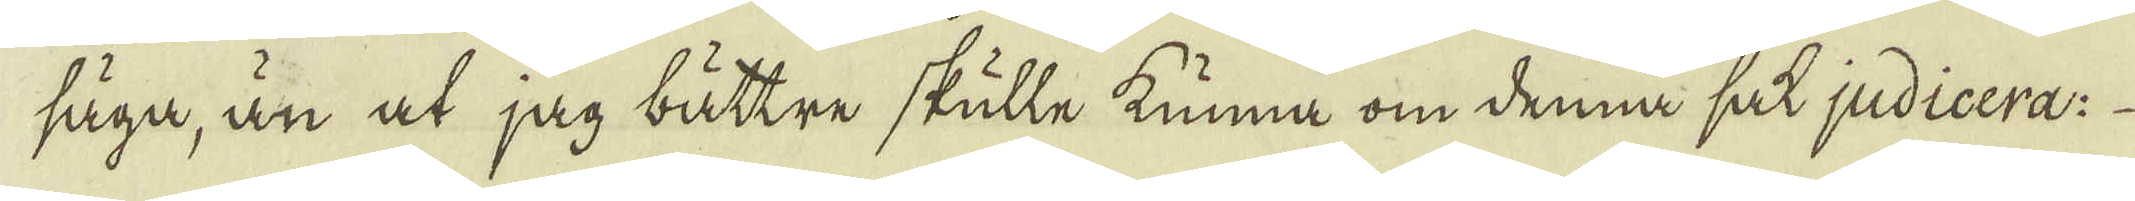säga, än at jag bättre skulle kunna om denna sak judicera:
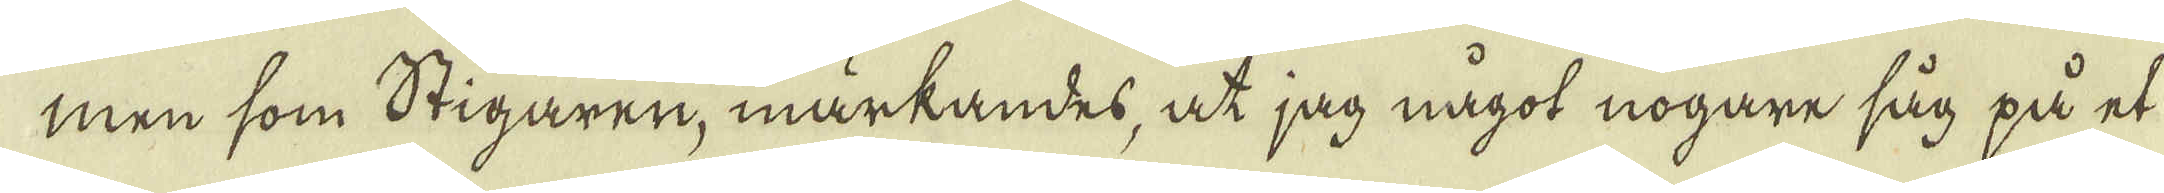men som Stigaren, märkandes, at jag något nogare såg på et
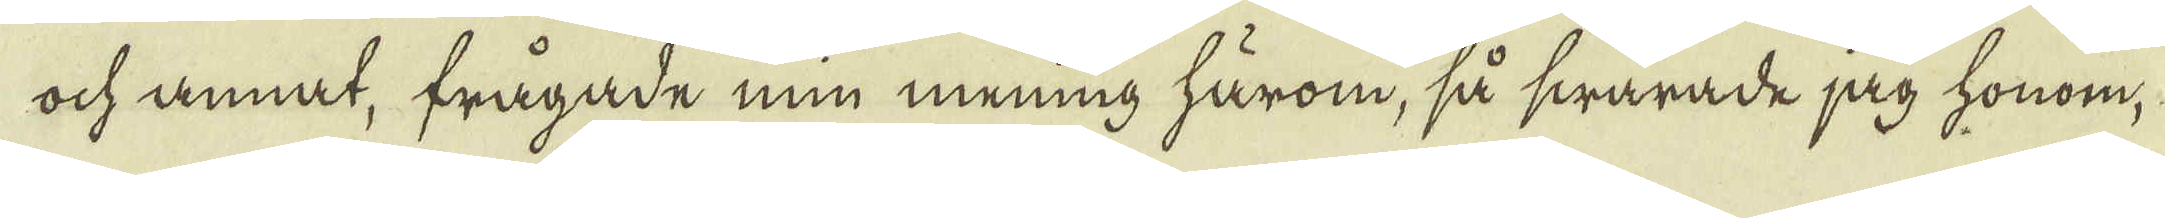ock annat, frågade min mening härom, så swarade jag honom,
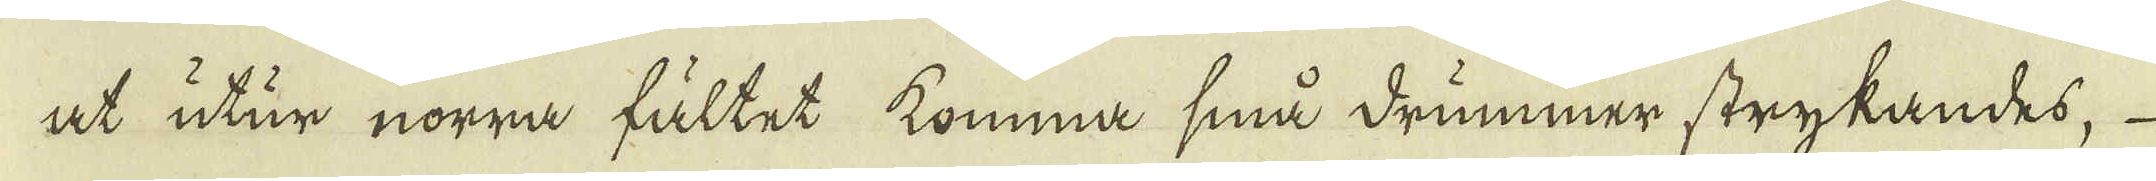at utur norra fältet komma små drummer strykandes,
